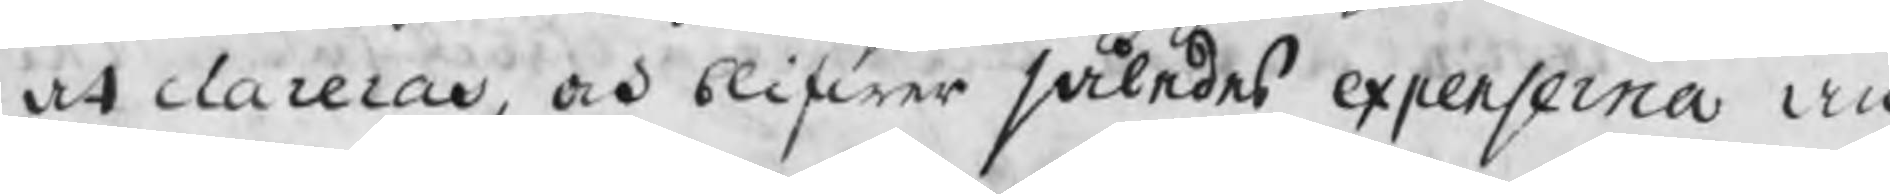at clarera, och blifwer således expenserna an
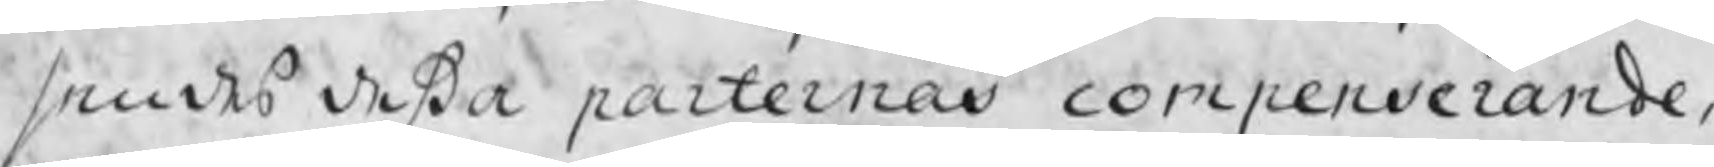sendes deßa parternas compenserande,
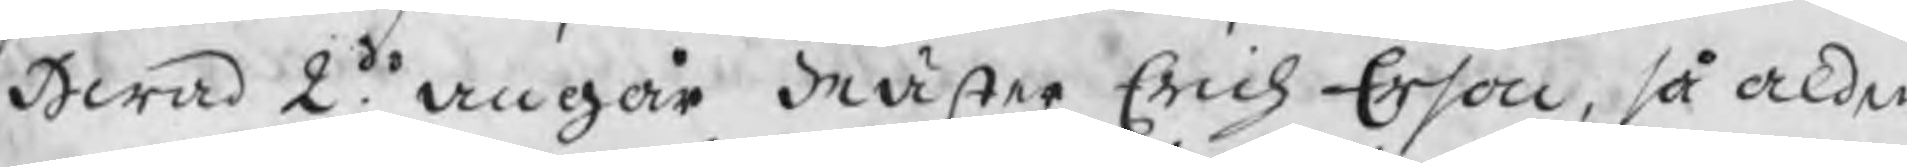Hwad 2do angår Mäster Erich Erson, så alden
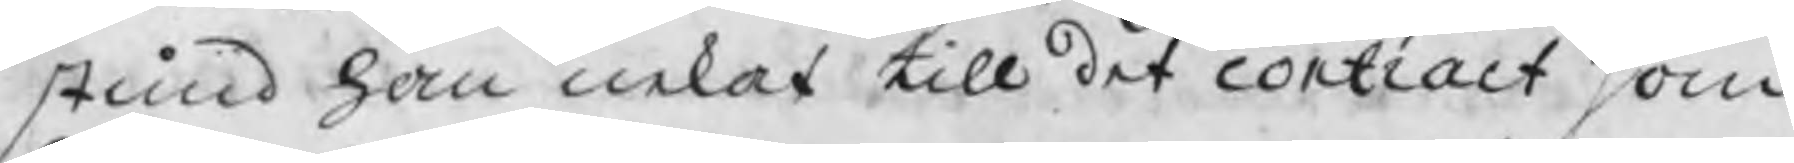stund han nekas till det contract som
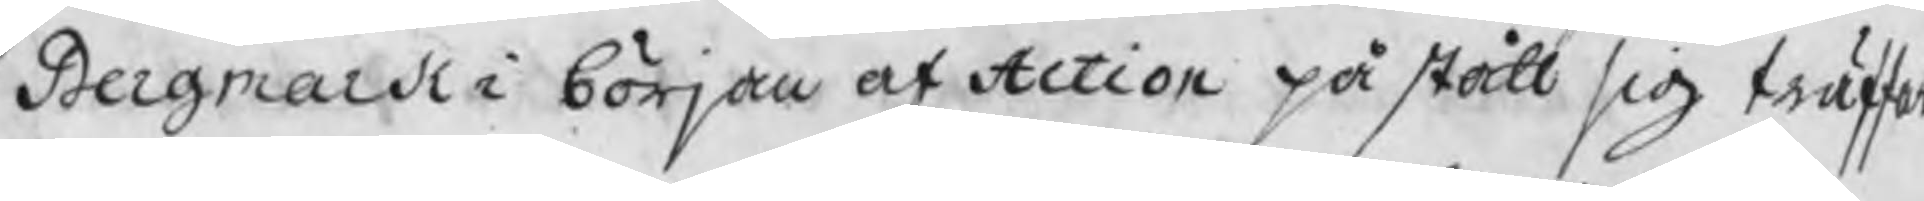Bergmark i början af Action påstått sig träffat
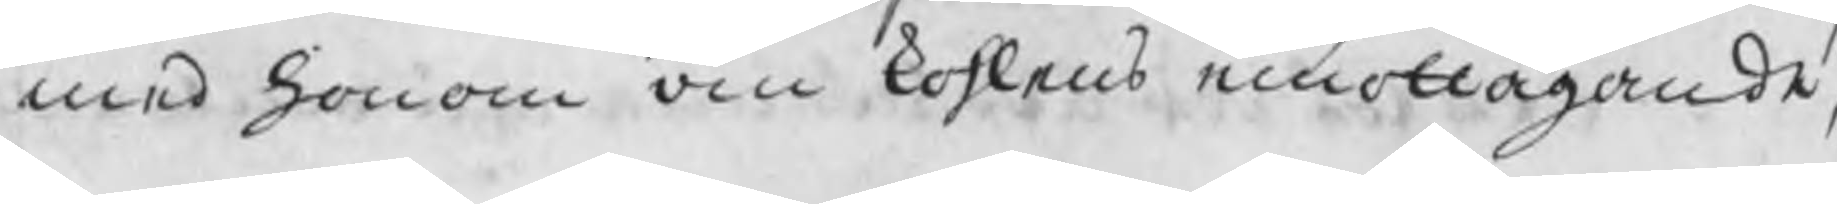med honom den kohlens emottagande,
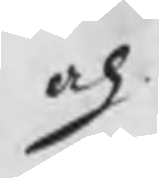och
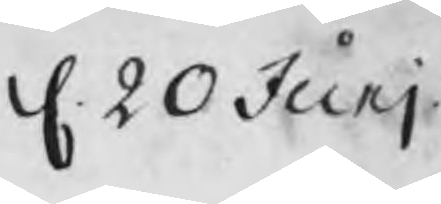d. 20 Junj
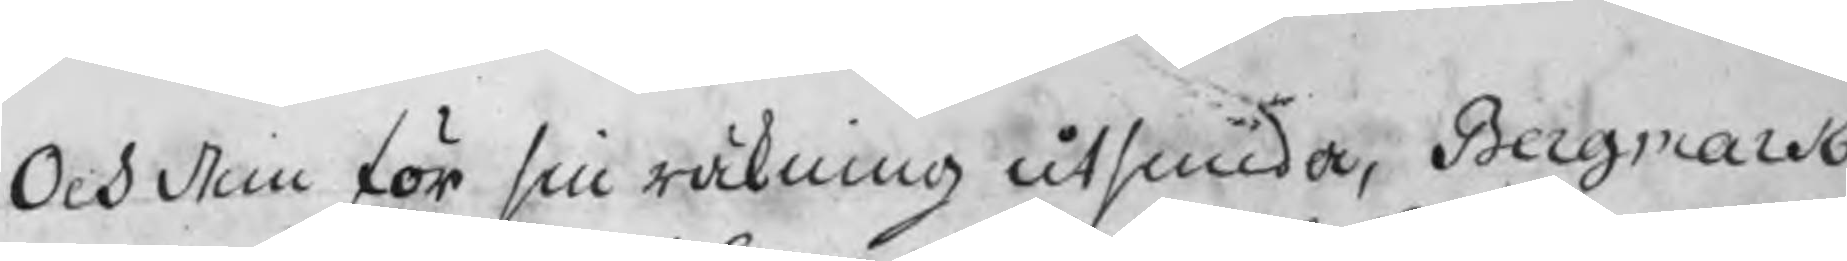Och dem för sin räkning utsmida, Bergmark
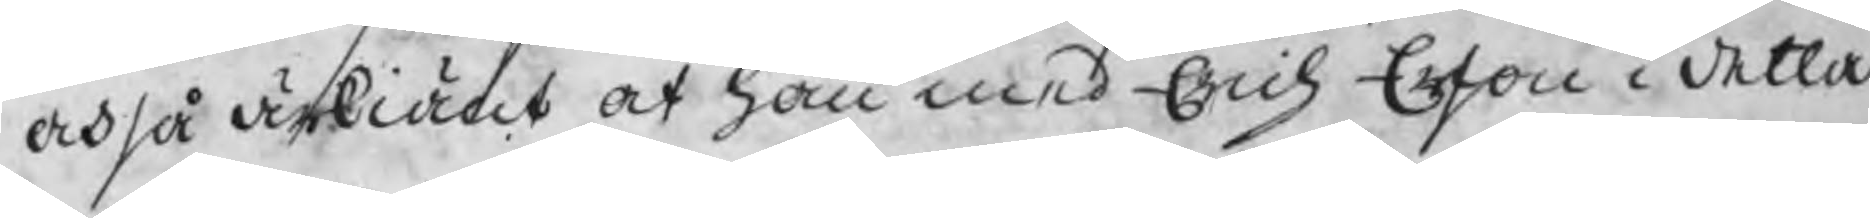ochså ärkiänt at han med Erich Erson i detta
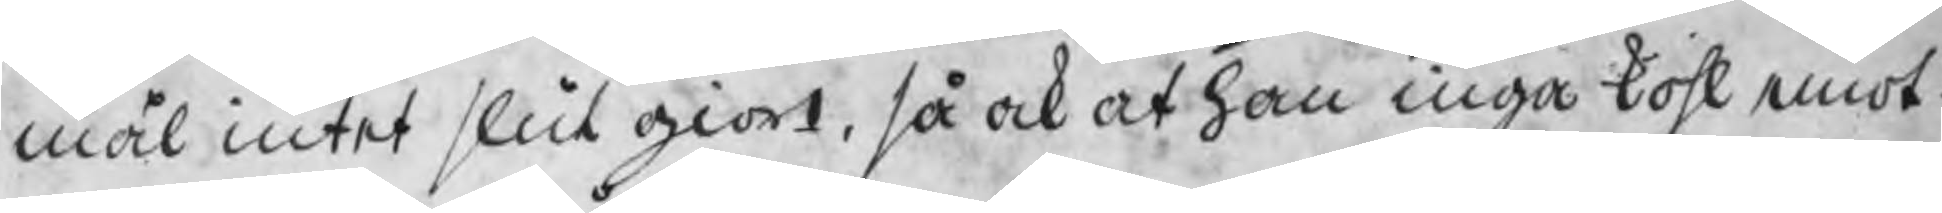mål intet slut giort, så ock at han inga kohl emot-
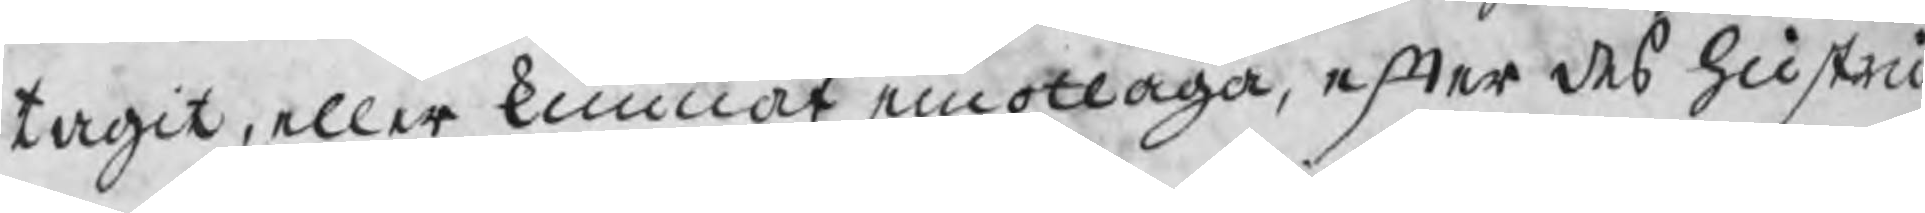tagit, eller kunnat emottaga, efter des hustru
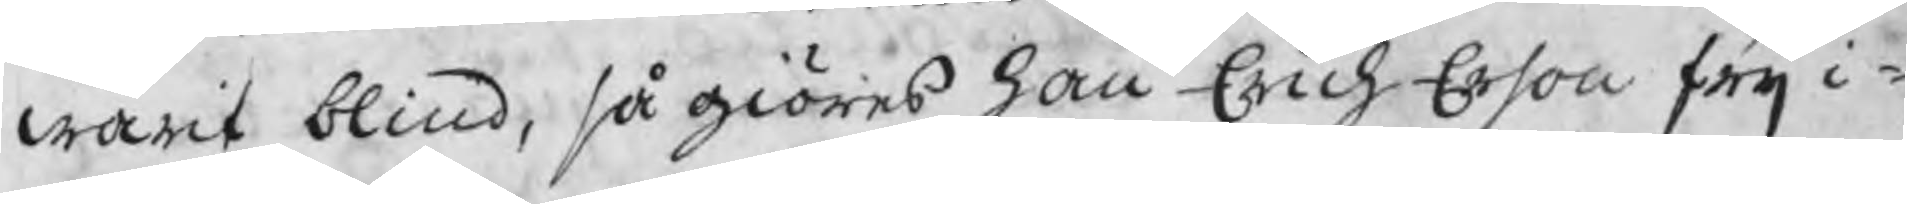warit blind, så giöres han Erich Erson frij i¬
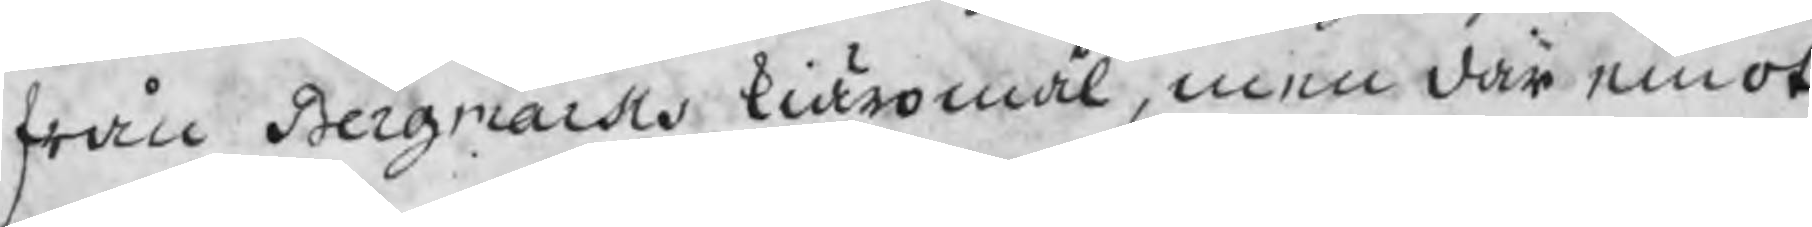från Bergmarks kiäromål, men där emot
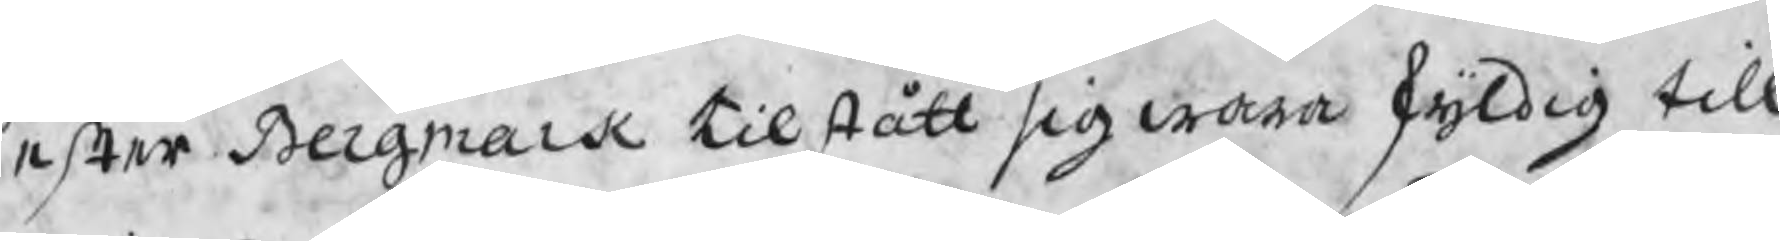efter Bergmark tilstått sig wara skyldig till
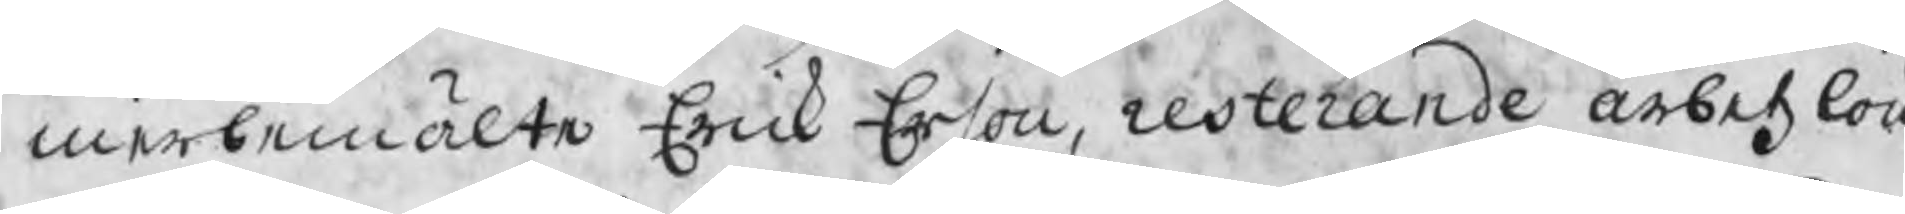merbemälte Erick Erson, resterande arbetzlön
